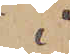i
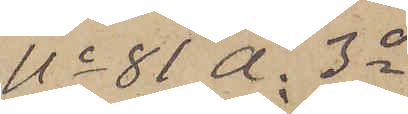No 81 A. 3o
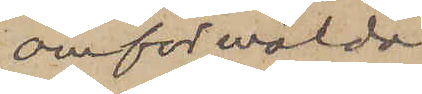omförmälda
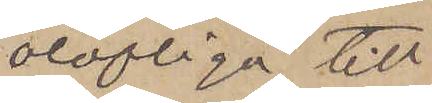oloflige till¬
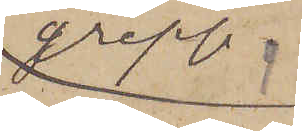grepp,
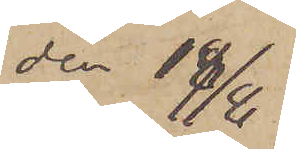den 18/8
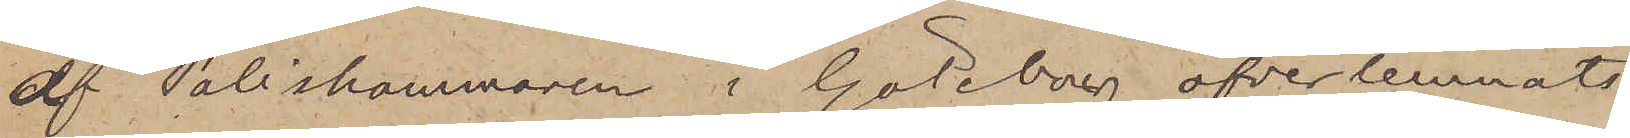af Poliskammaren i Göteborg öfverlemnats
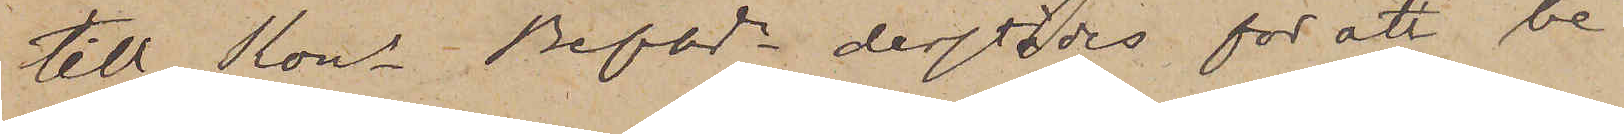till Kons Befhde derstädes för att be¬
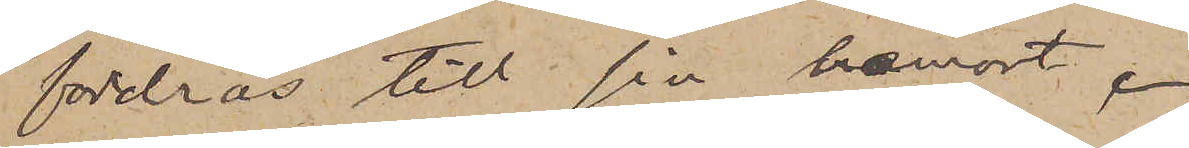fordras till sin hemort.
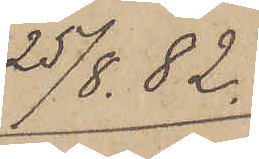25/8  82.
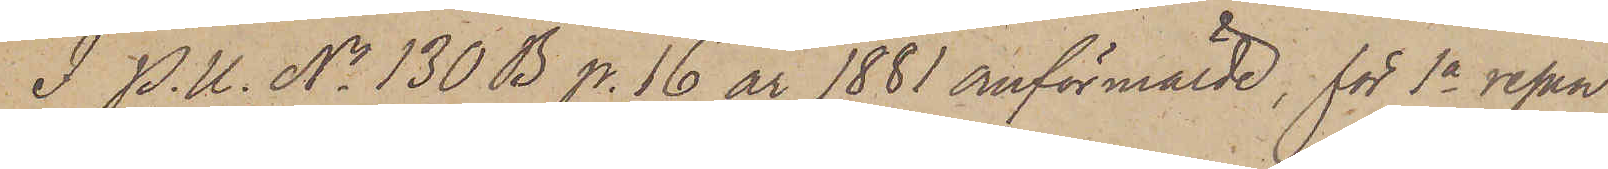I. P. U. No 130 B p.16 år 1881 omförmälde, för 1a resan
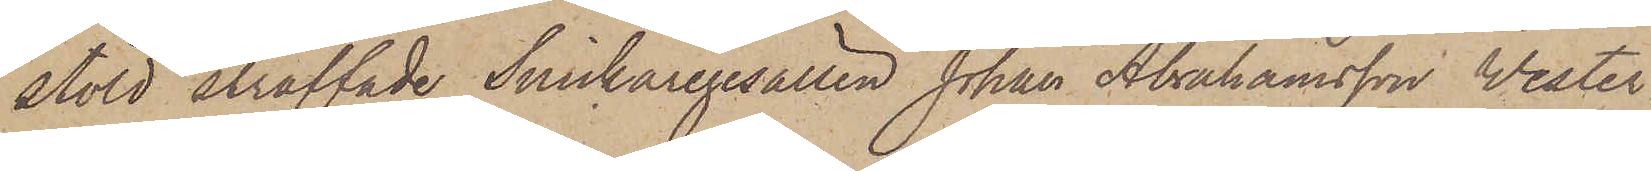stöld straffade Snickaregesällen Johan Abrahamsson Wester¬
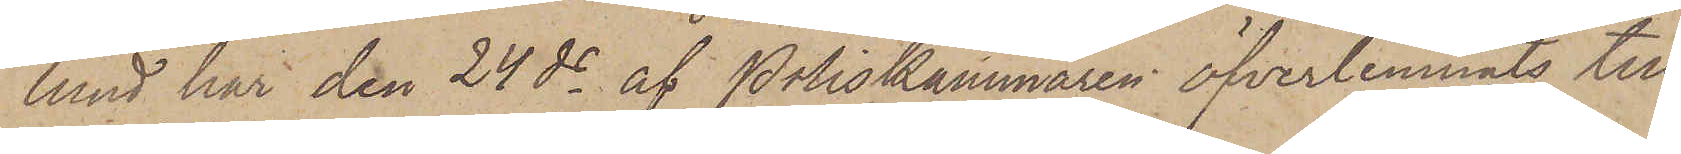lund har den 24 ds af Poliskammaren öfverlemnats till
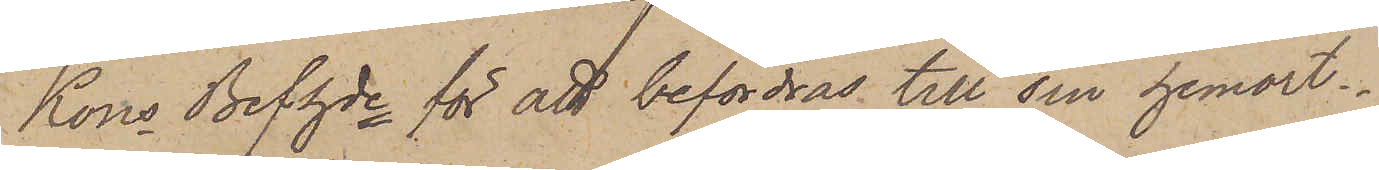Kons Befhde för att befordras till sin hemort.
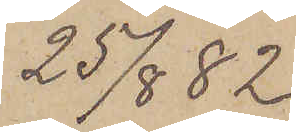25/8  82.
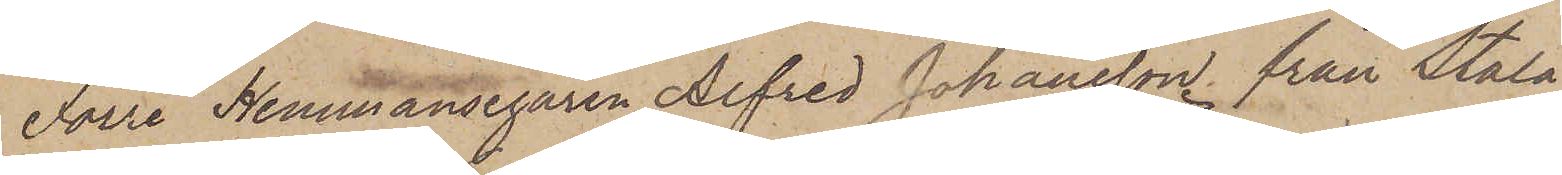Förre Hemmansegaren Alfred Johansson från Stala
